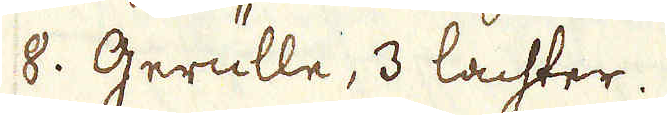8. Gerulle, 3 lachter.
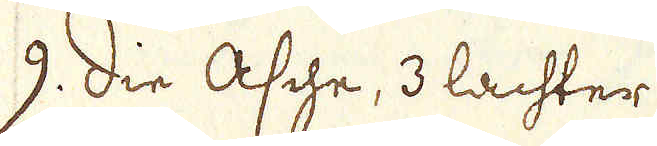9. die Asche, 3 lachter.
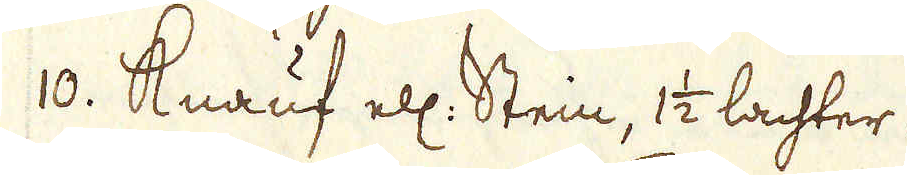10. Knauf ell: Stein, 1 1/2 lachter.
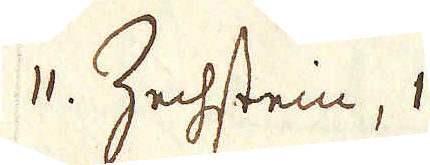11. Zechstein, 1
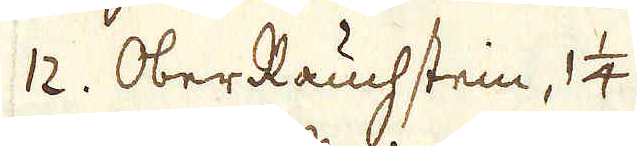12. OberRauchstein, 1 1/4
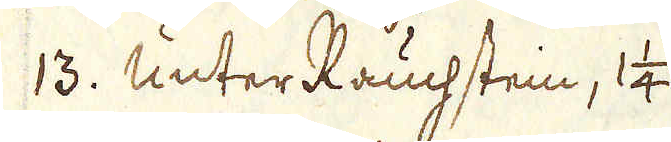13. Unter Rauchstein, 1 1/4
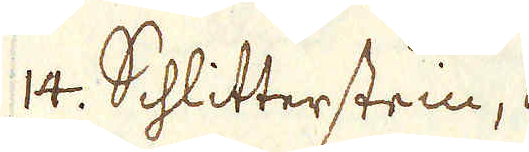14. Schlitterstein, 1
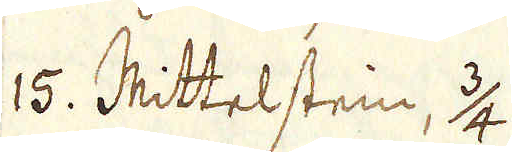15. Mittelstein, 3/4
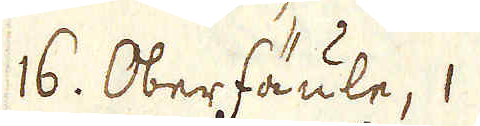16. Oberfäule, 1
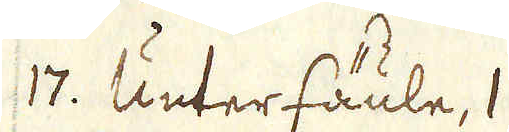17. Unterfäule, 1
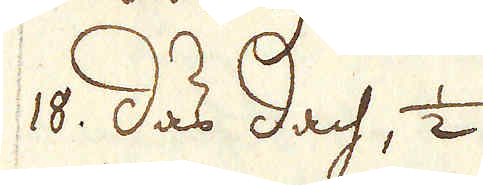18. das dach, 1/2
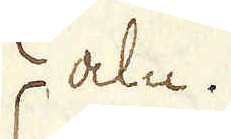aln.
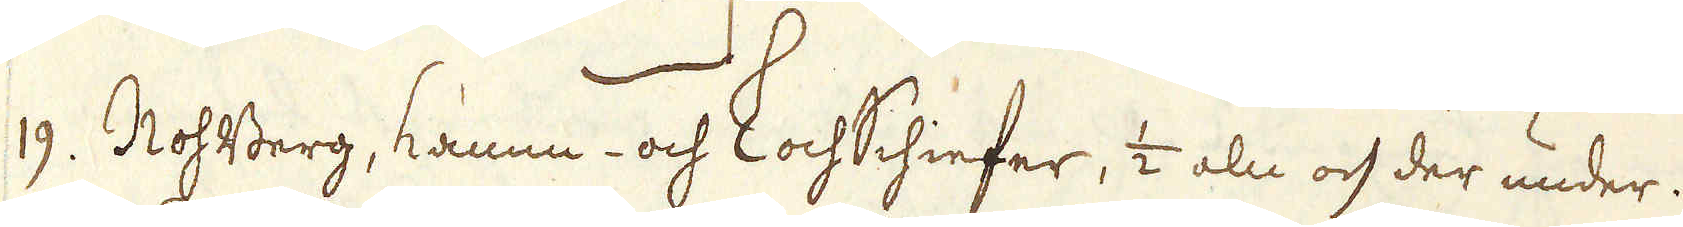19. RohBerg, Kamm- och LochSchiefer, 1/2 aln och der under.
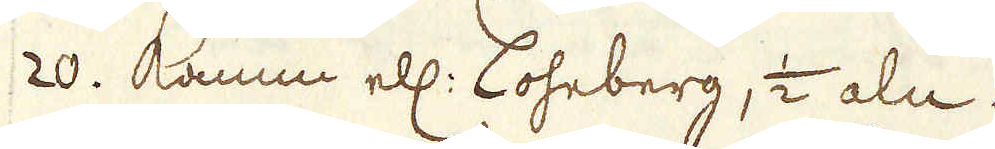20. Kamm ell: Loheberg, 1/2 aln.
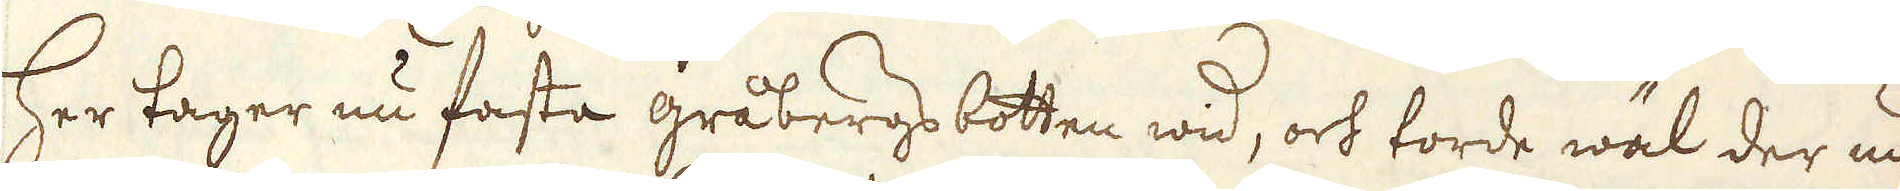Her tager nu fasta gråbergs botten wid, och torde wäl der un-
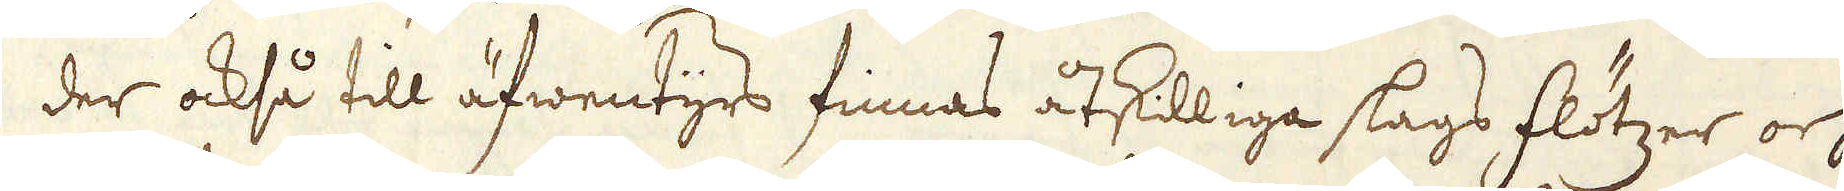der också till äfwentyrs finnas åtskilliga slags flötzer och
